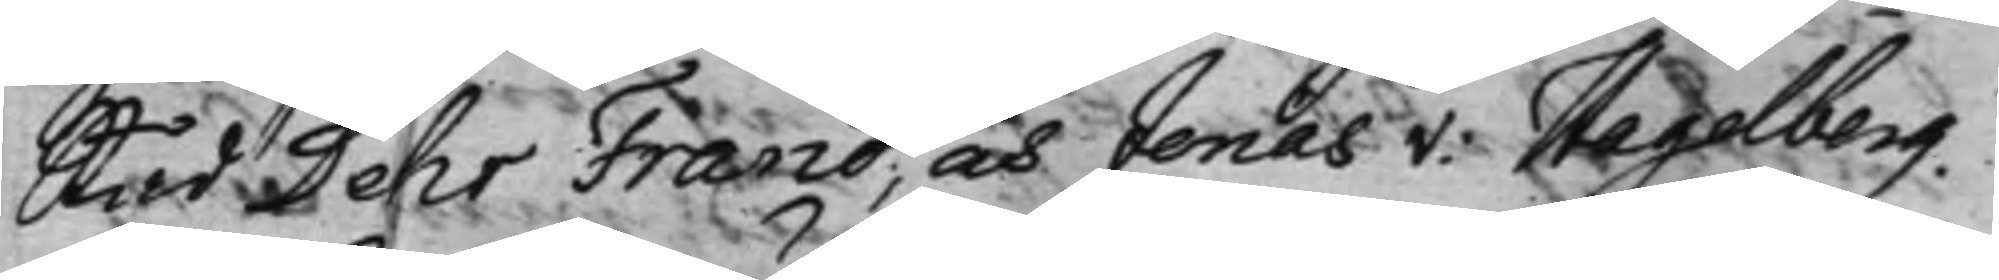Råd Pehr Franc, och Jonas v: Hagelberg. 
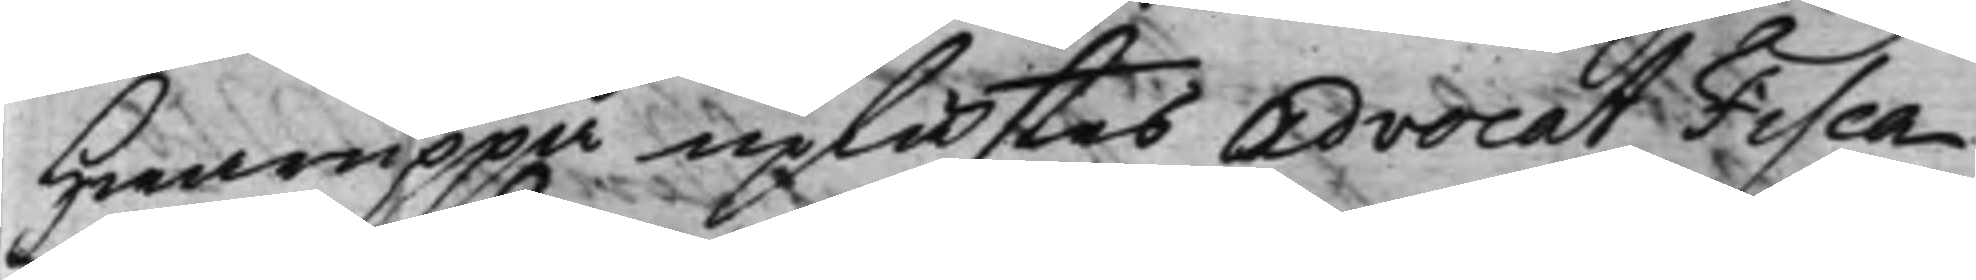Hwaruppå uplästes AdvocatFisca¬
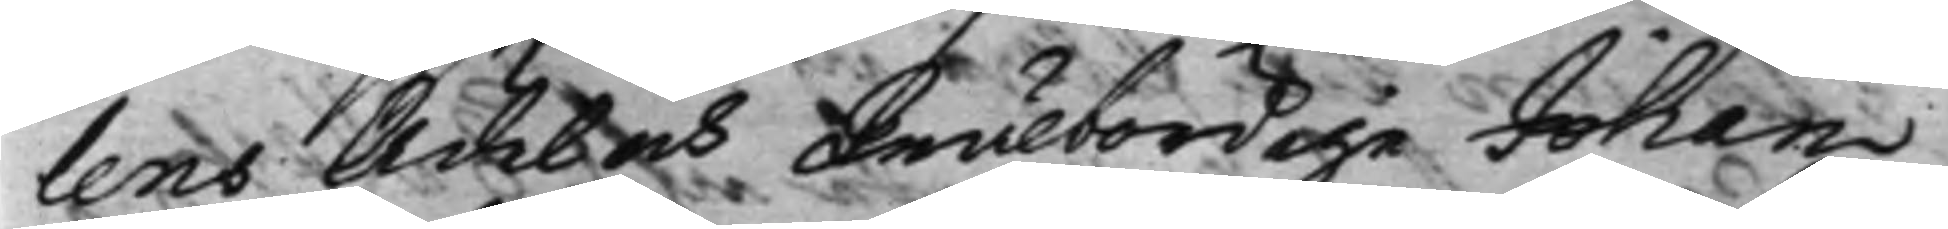lens Ädel och Wälbördige Johan
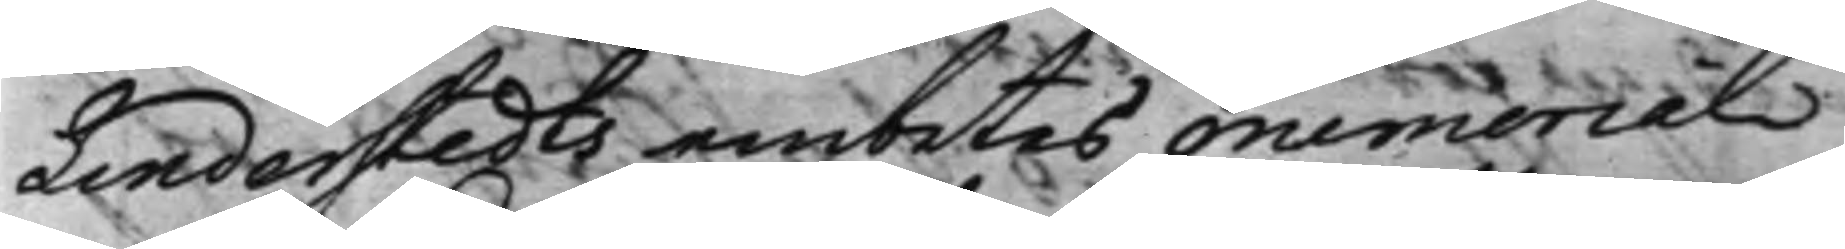Linderstedts embetes Memorial
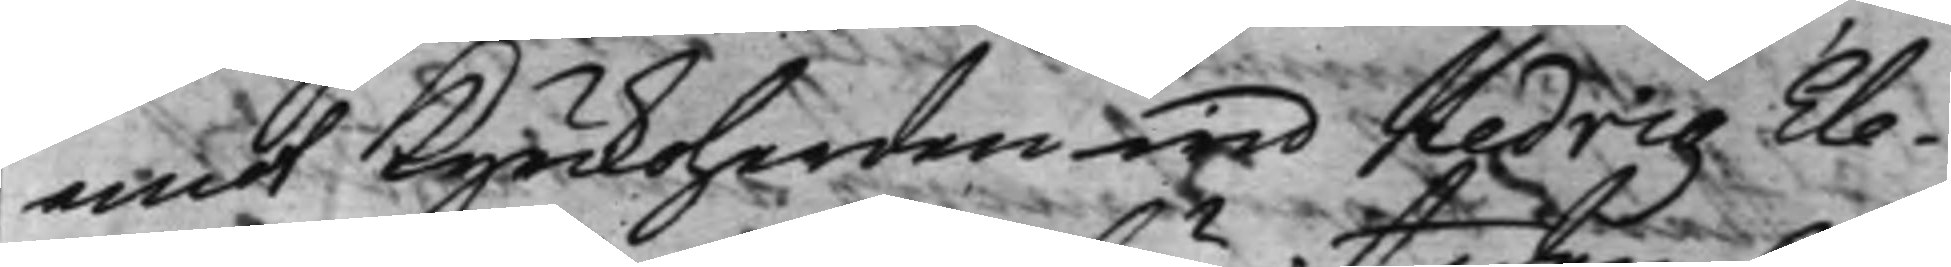emot Kyrckoherden wid Hedvig Ele¬
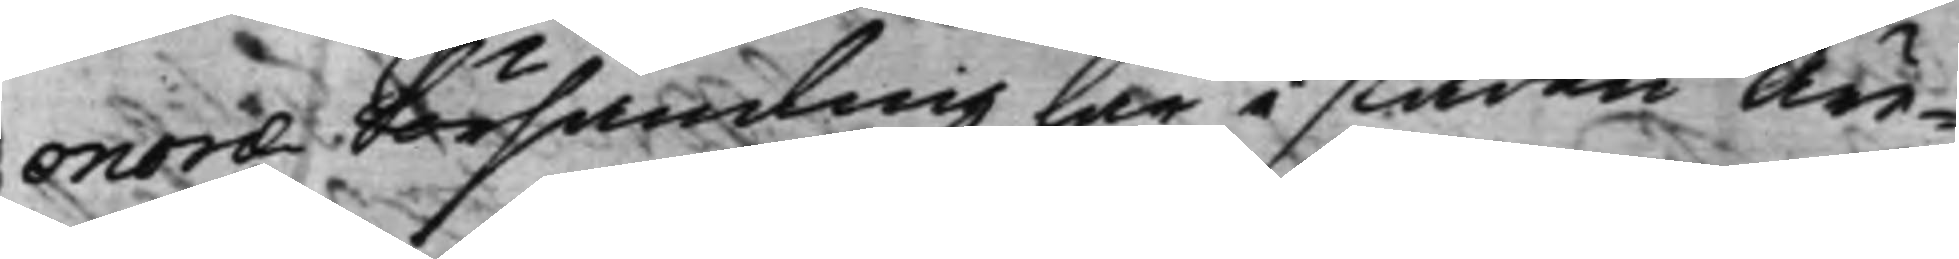onoræ Församling här i staden Äre¬
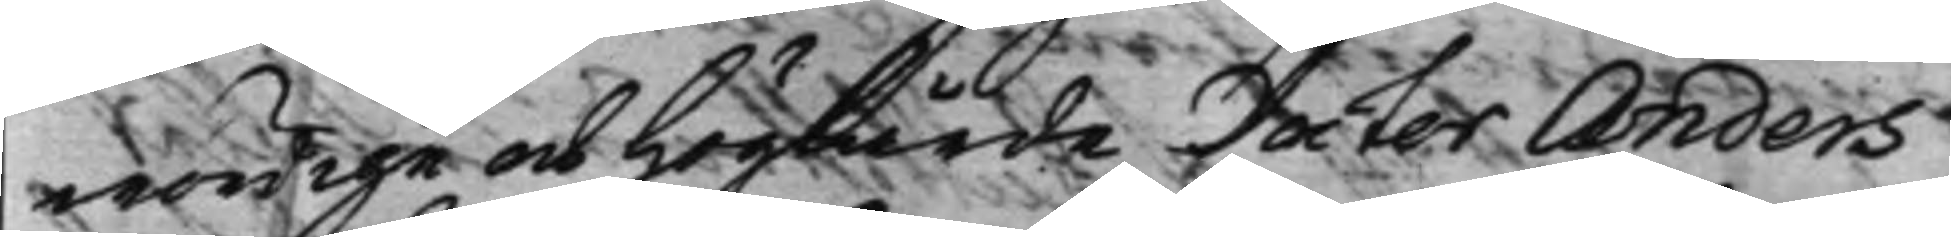wördige och Höglärde Doctor Anders
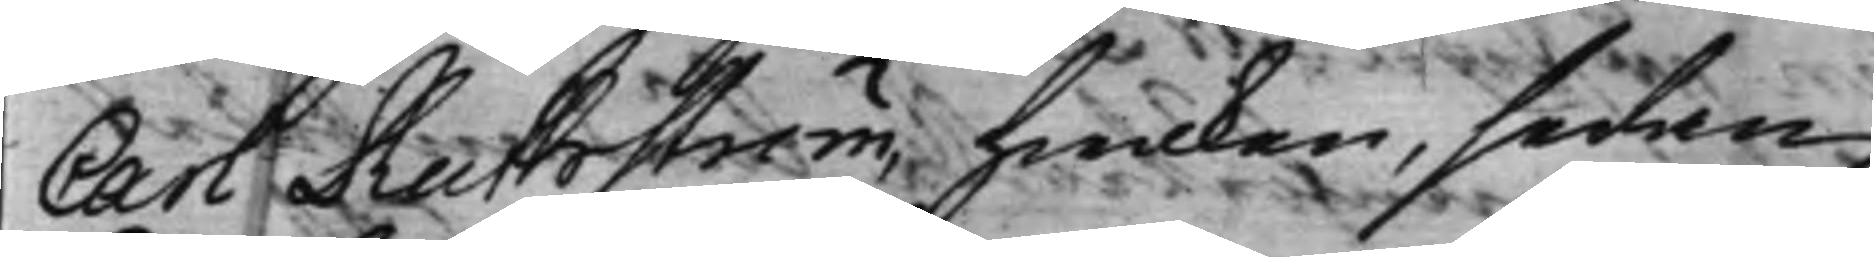Carl Ruthström, hwilken, sedan
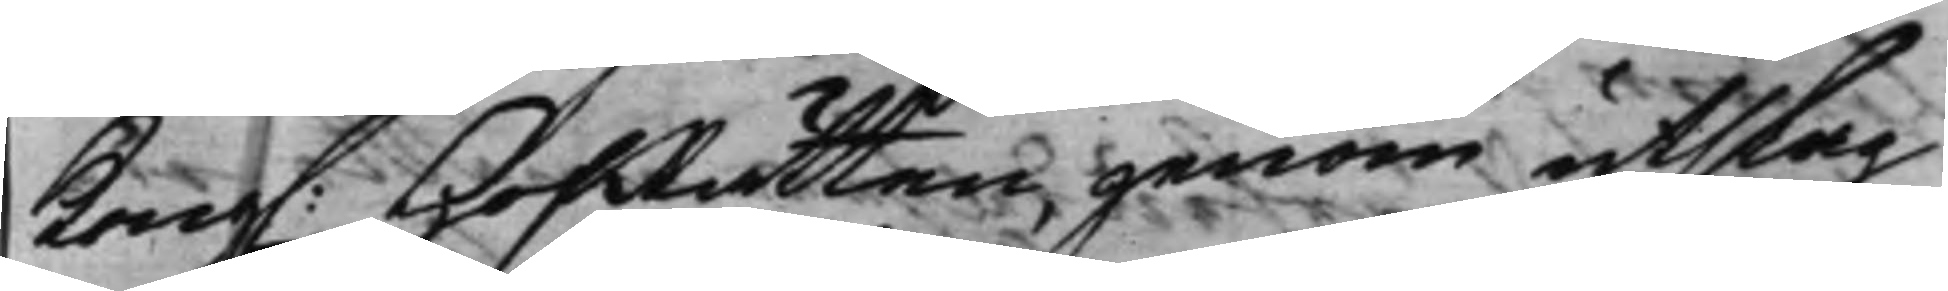Kong. HofRätten genom utslag 
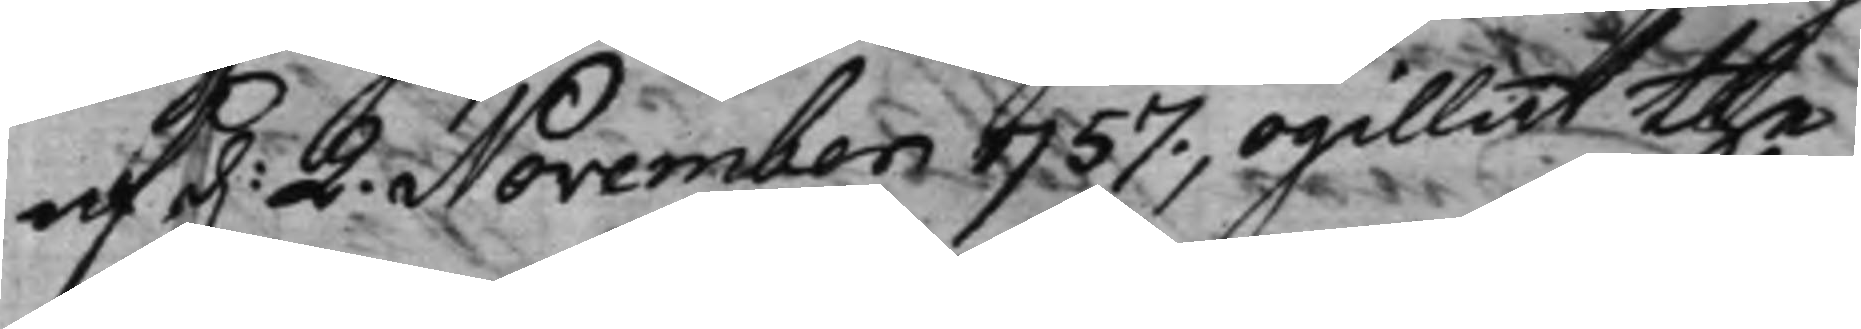af d. 2. November 1757., ogillat the 
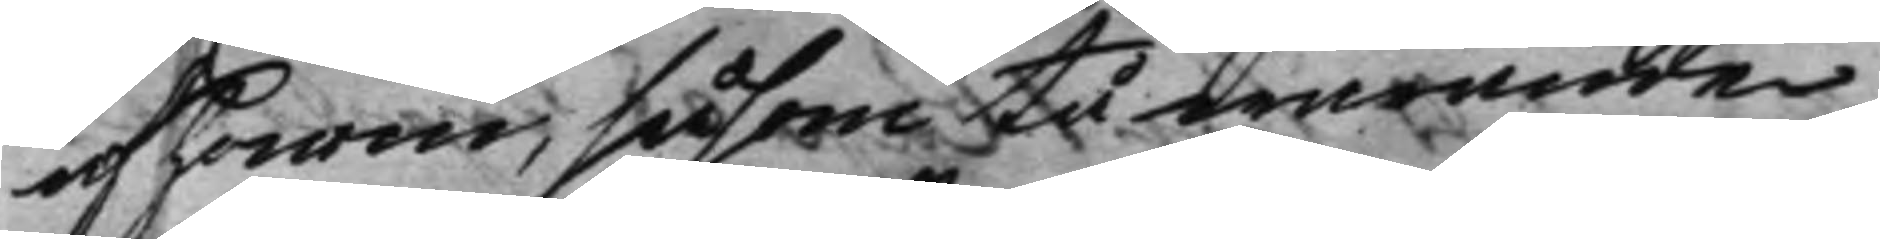af honom, såsom tå warande
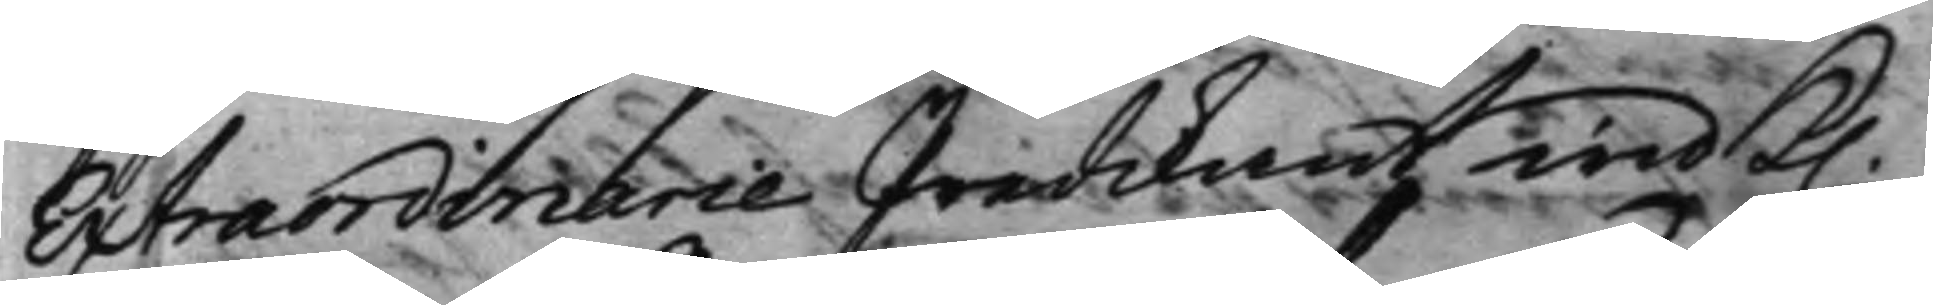Extraordinarie Predikant wid K. 
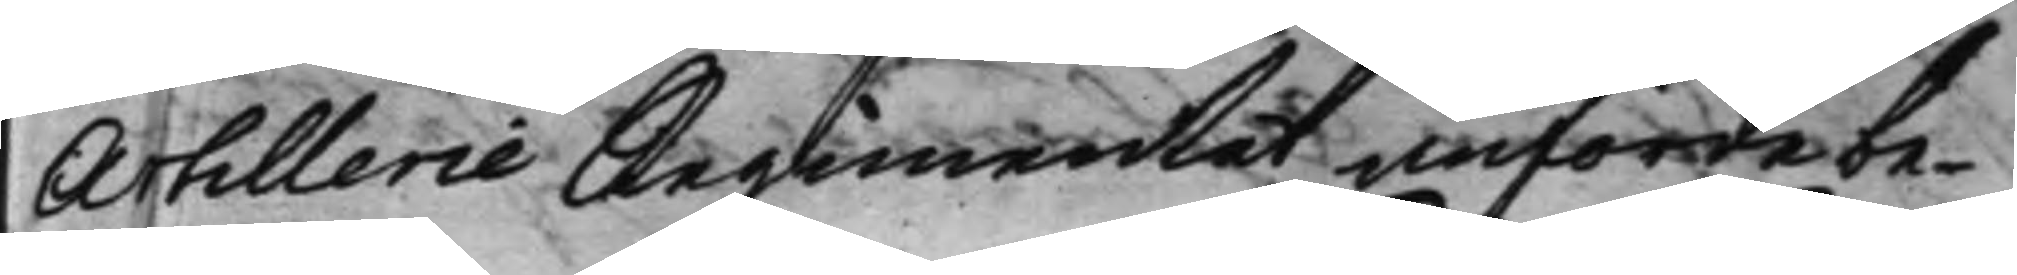Artillerie Regimentet anförde be¬
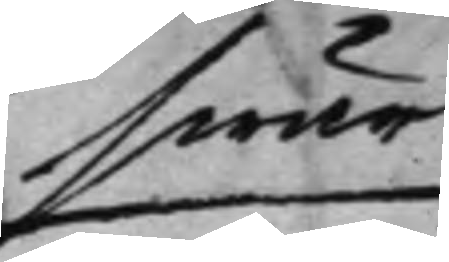swär
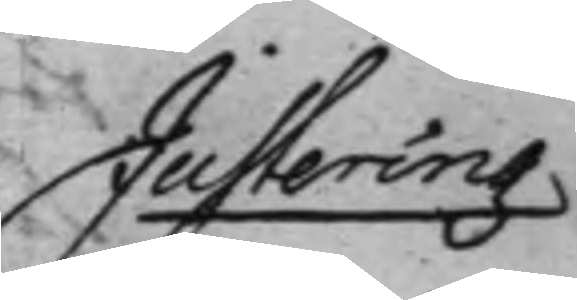Justering 
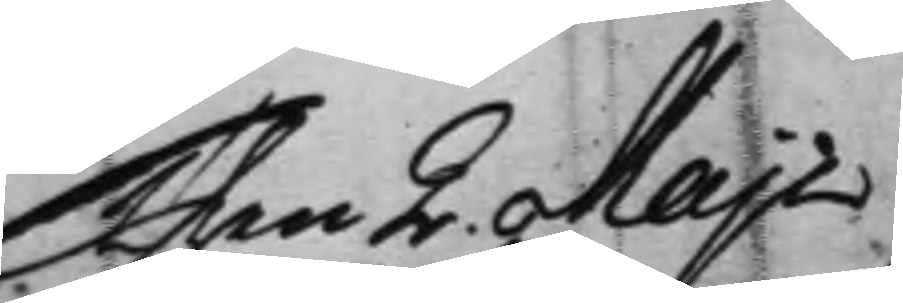Then 2. Maji
